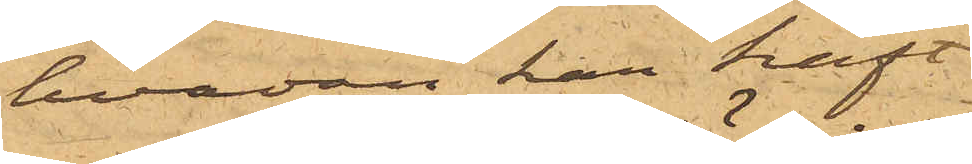hvadan han haft
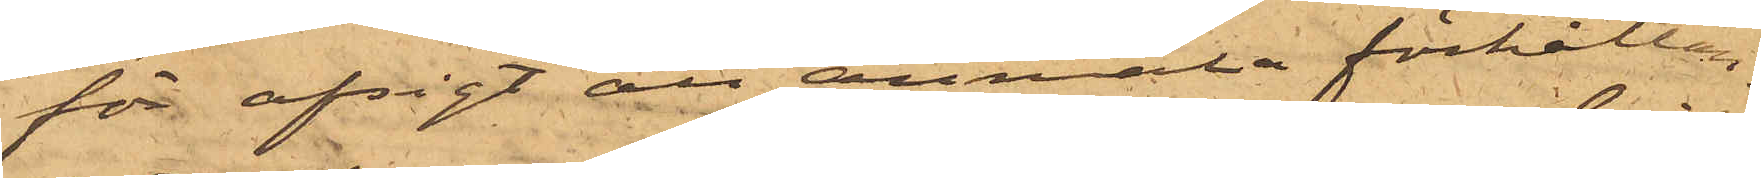för afsigt att anmäla förhållan¬
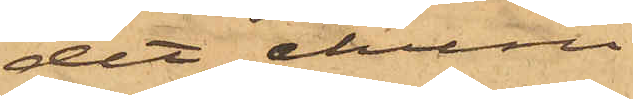det, ehuru
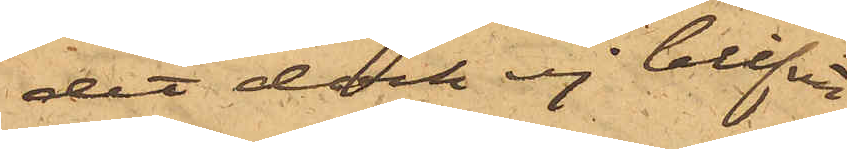det dock ej blifvit af.
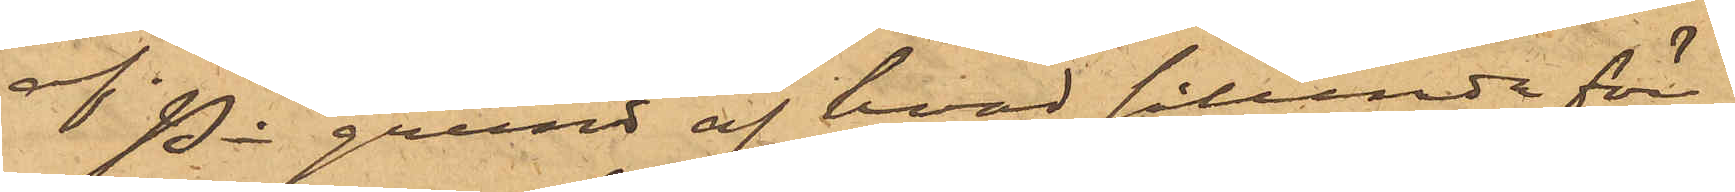På grund af hvad sålunda före¬
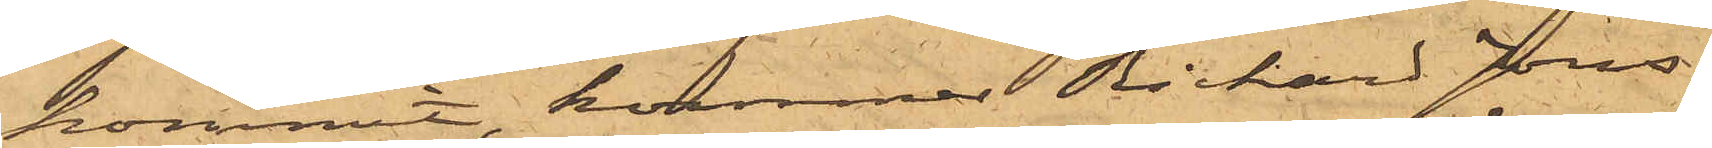kommit, kommer Richard Jons¬
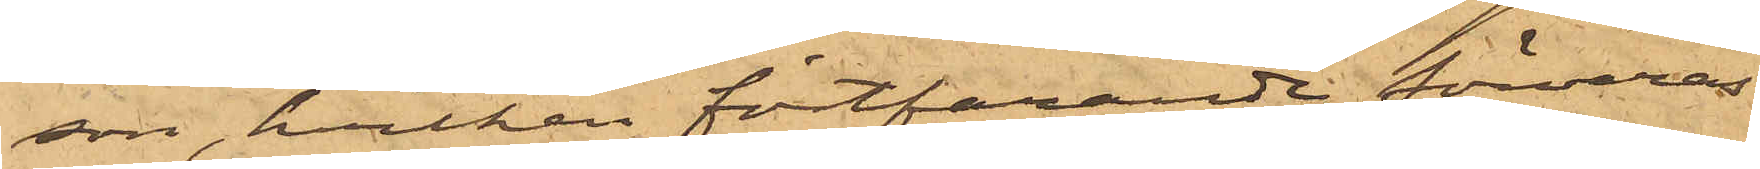son, hvilken fortfarande förvaras
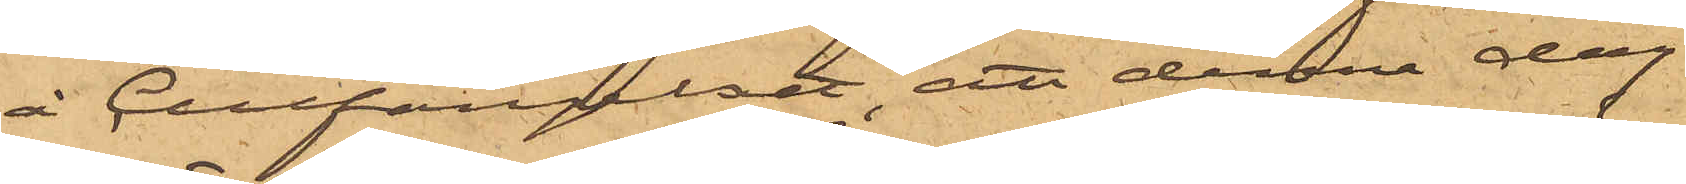å Cellfängelset, att denna dag
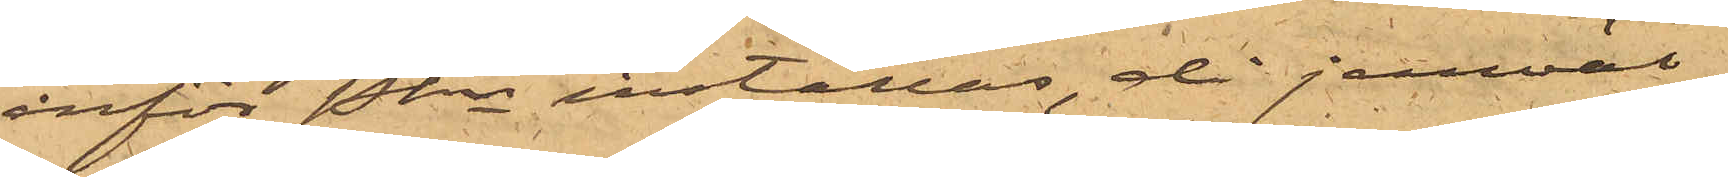inför Pkn inställas, då jemväl
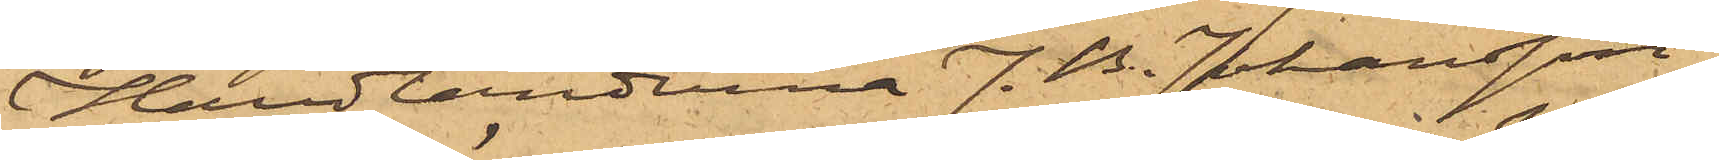Handlanderna J. B. Johansson,
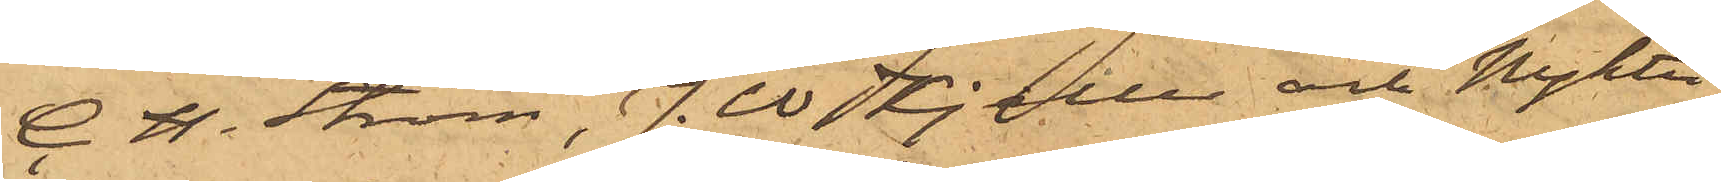C. H. Ström, J.W. Kjeller och Nykter¬
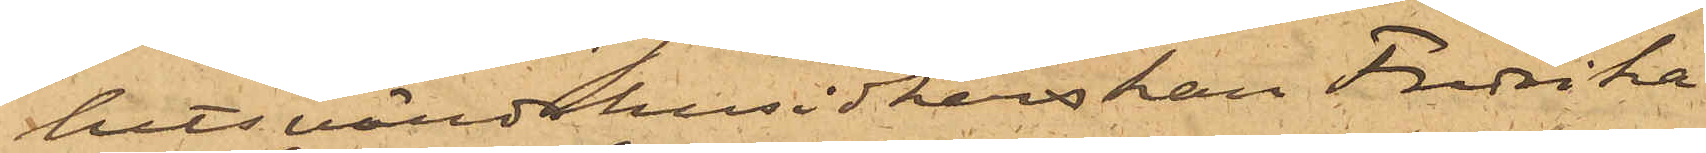hetsvärdshusidkerskan Fredrika
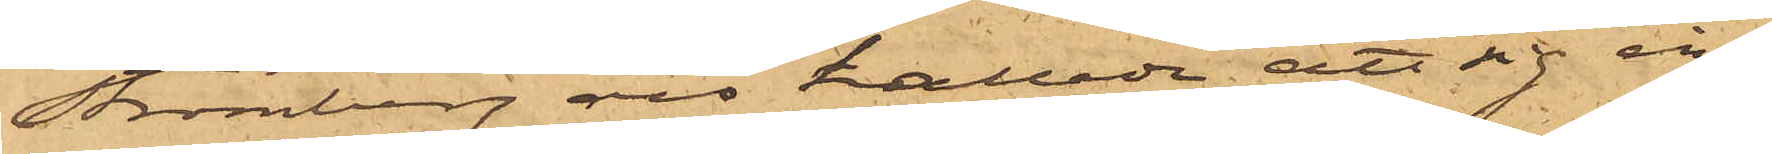Strömberg äro kallade att sig in¬
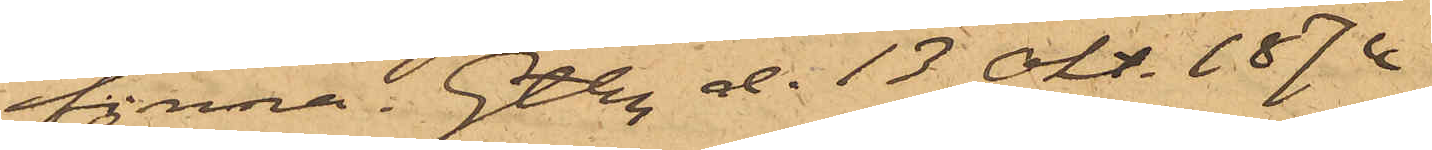finna. Gtbg d. 13 Okt. 1874
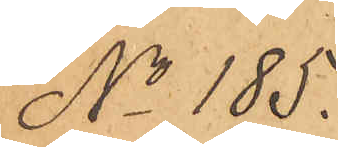No 185.
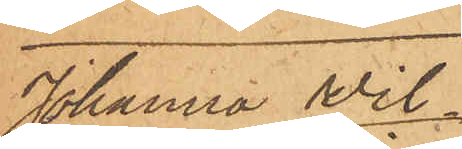Johanna Wil¬
